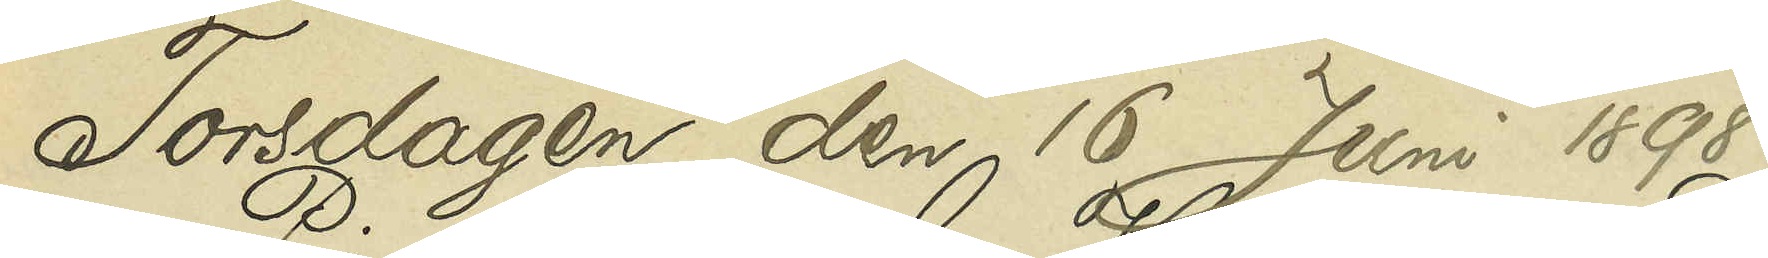Torsdagen den 16 Juni 1898.
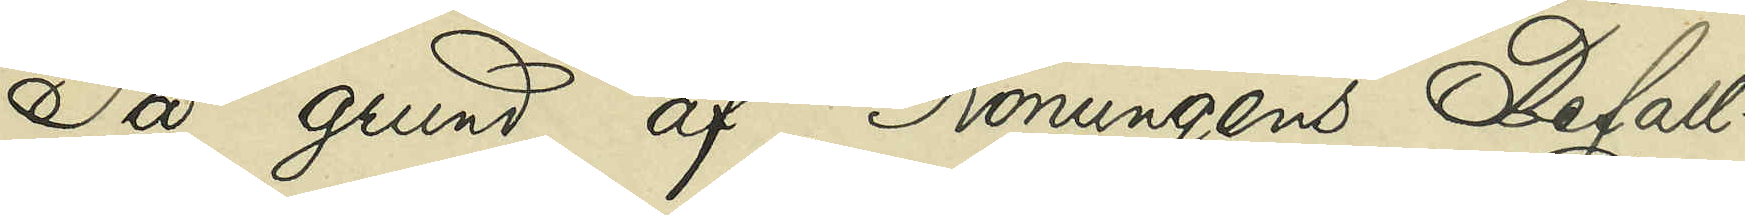På grund af Konungens Befall¬
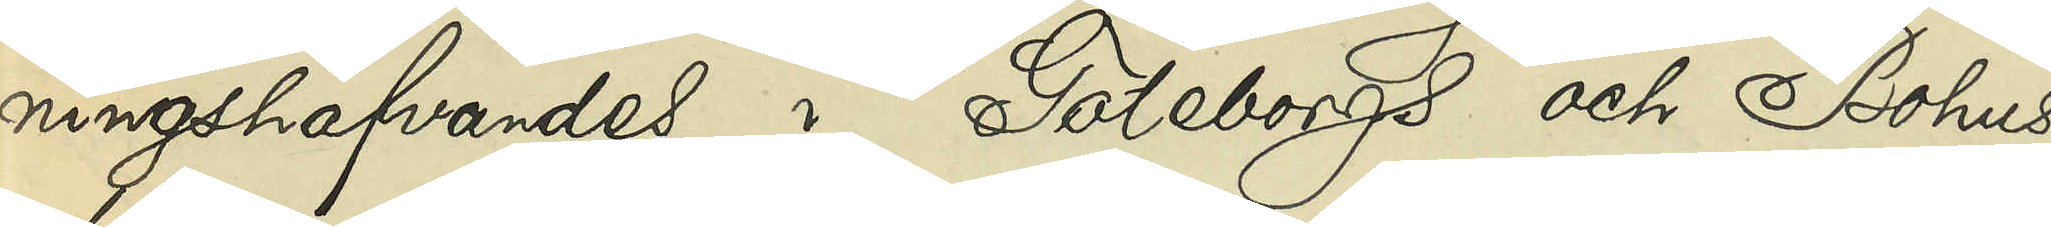ningshafvandes i Göteborgs och Bohus
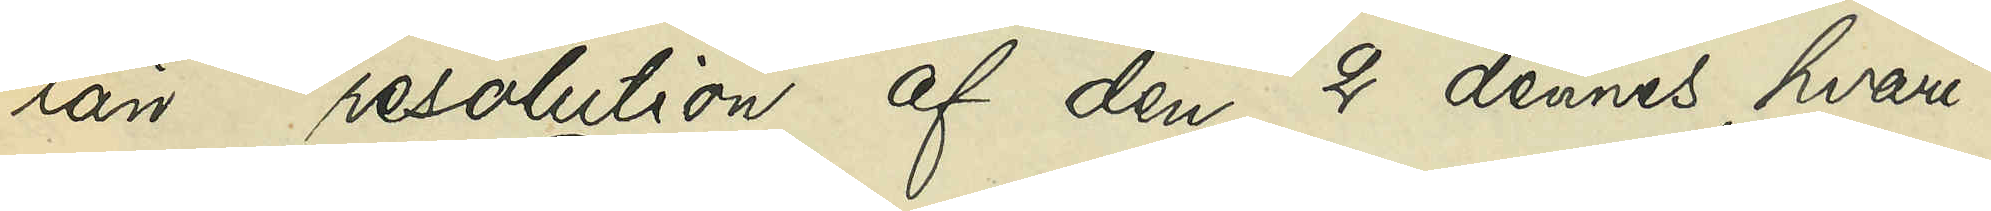län resolution af den 2 dennes, hvari¬
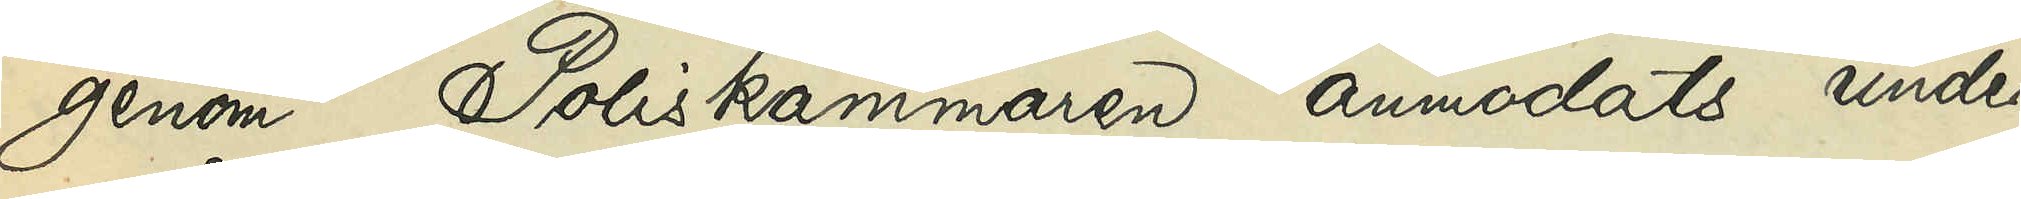genom Poliskammaren anmodats under¬
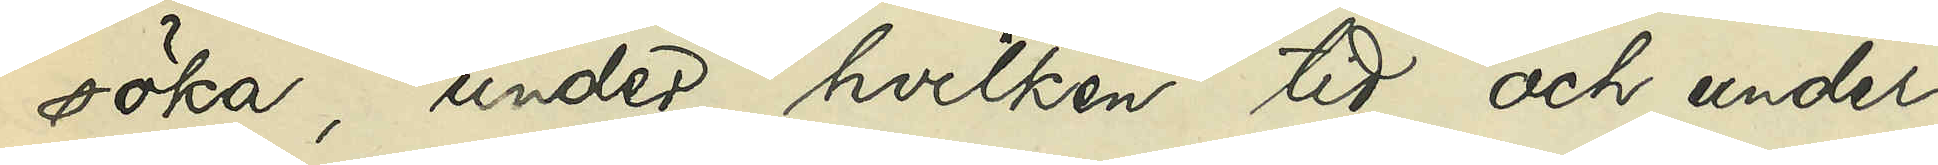söka, under hvilken tid och under
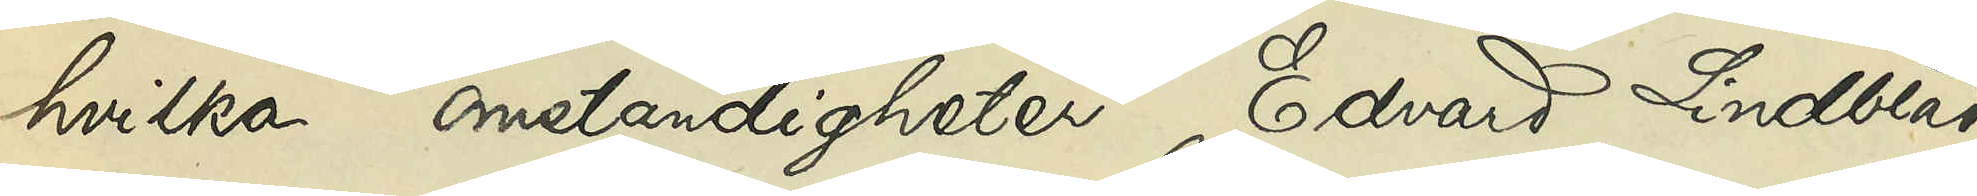hvilka omständigheter Edvard Lindblad
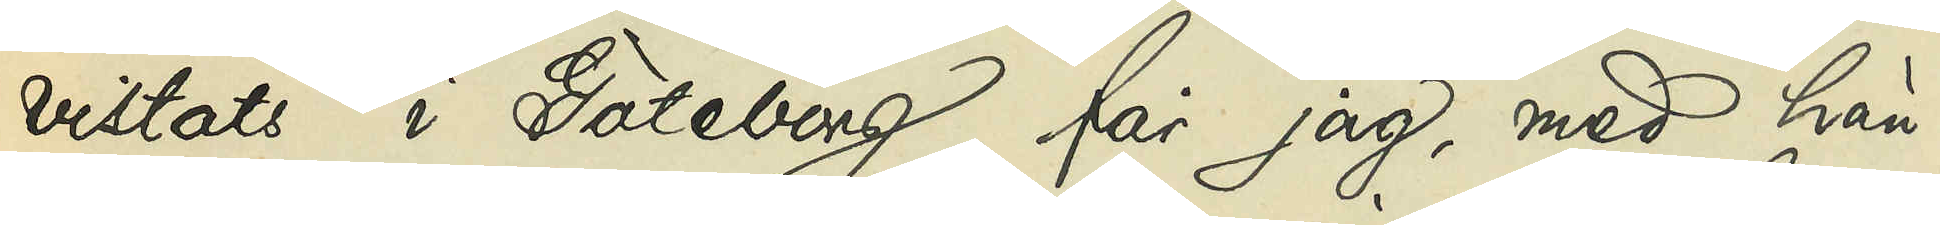vistats i Göteborg, får jag, med hän¬
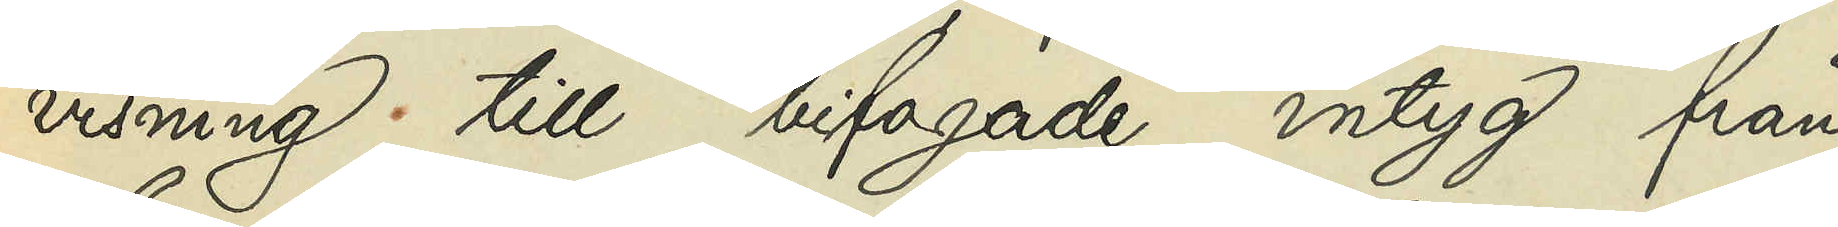visning till bifogade intyg från
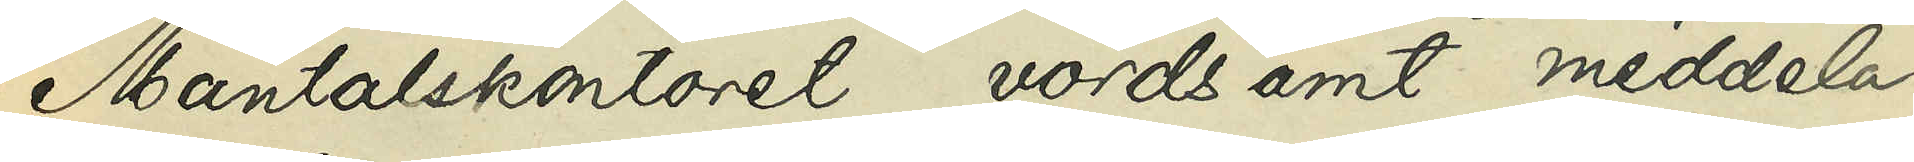Mantalskontoret vördsamt meddela,
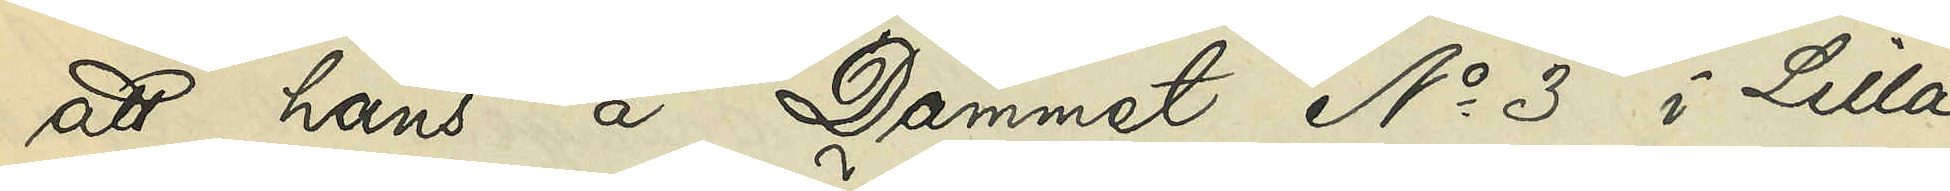att hans å Dämmet No 3 i Lilla
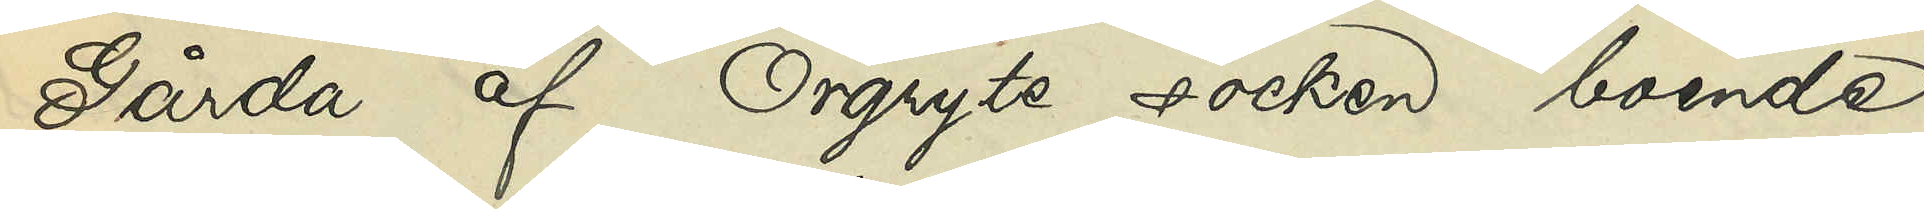Gårda af Örgryte socken boende
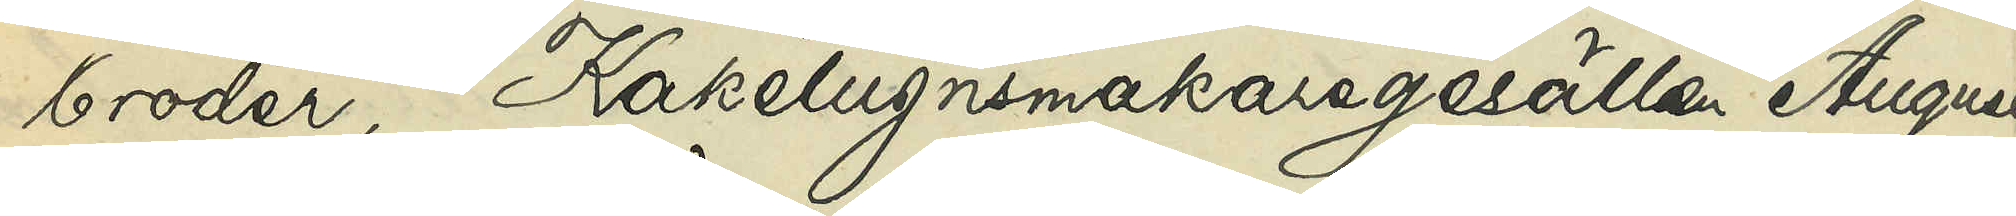broder, Kakelugnsmakaregesällen August
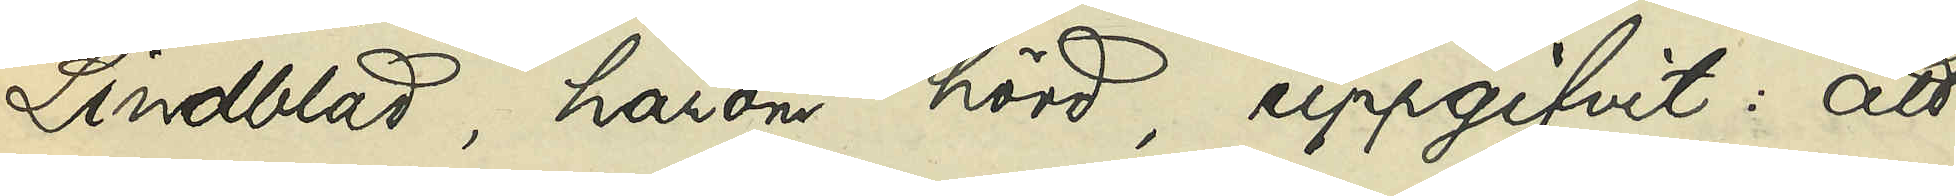Lindblad, härom hörd, uppgifvit: att
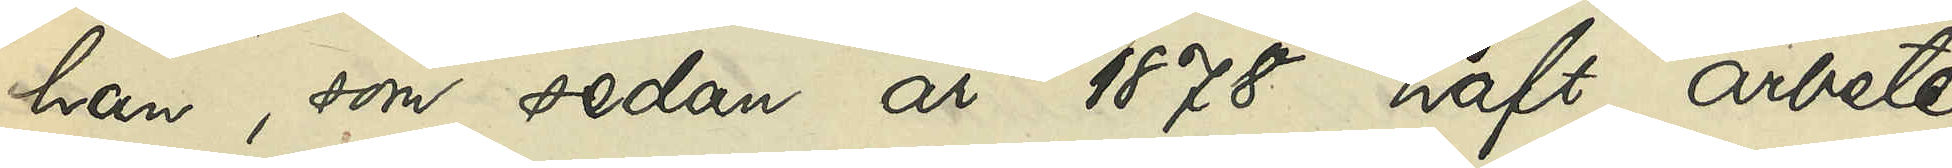han, som sedan år 1878 haft arbete
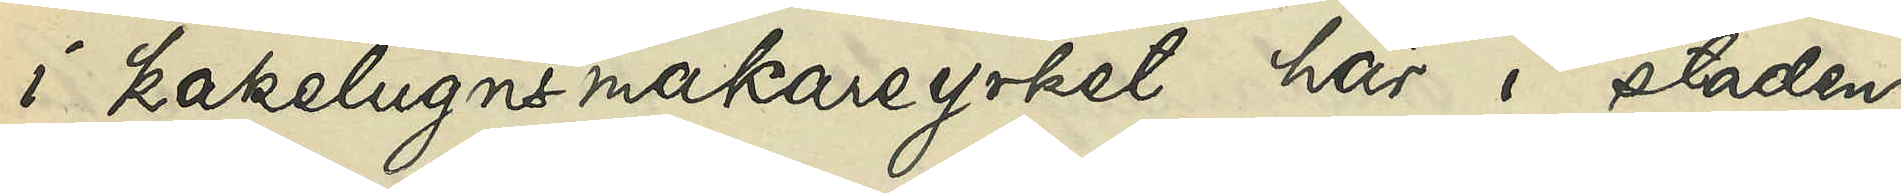i kakelugnsmakareyrket här i staden,
